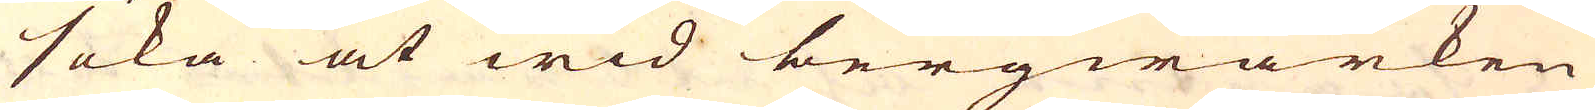söka at wid bergwärken
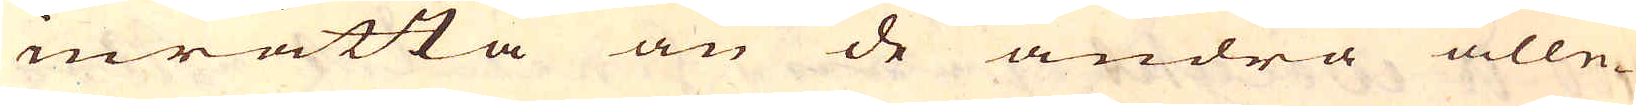inrätta än de andra alle-
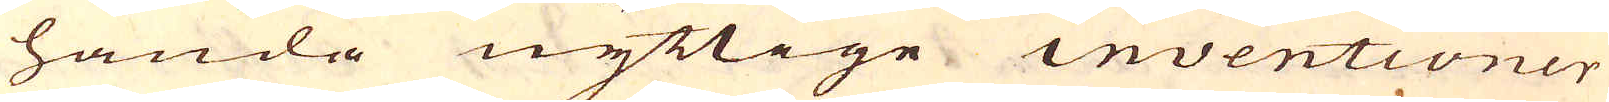handa nyttige inventioner
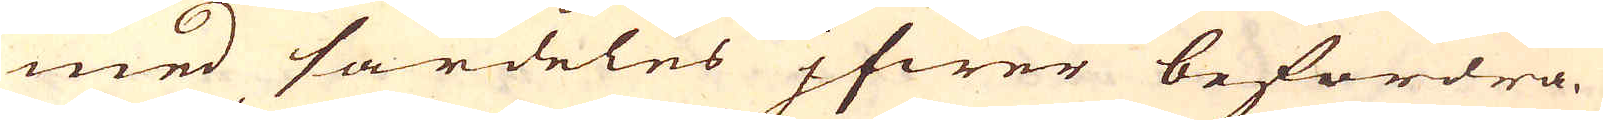med särdeles jfwer befordra.
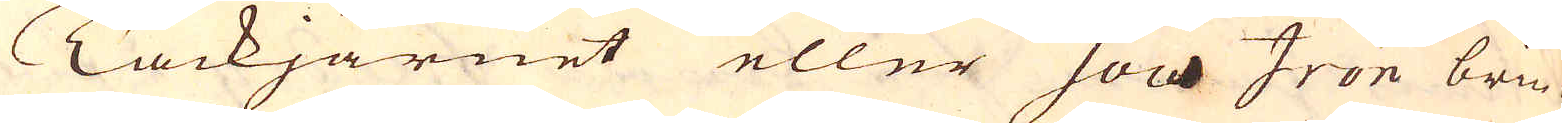Tackjärnet eller Sow Iron bru-
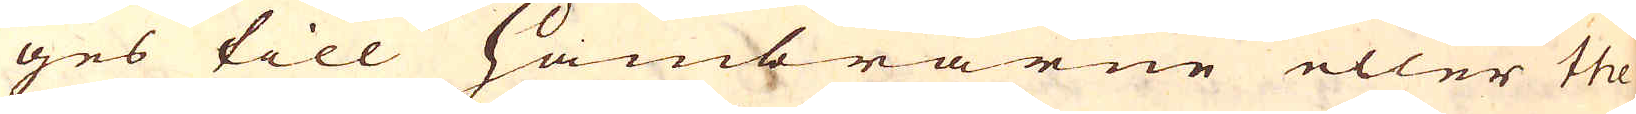ges till Hambrarne eller the
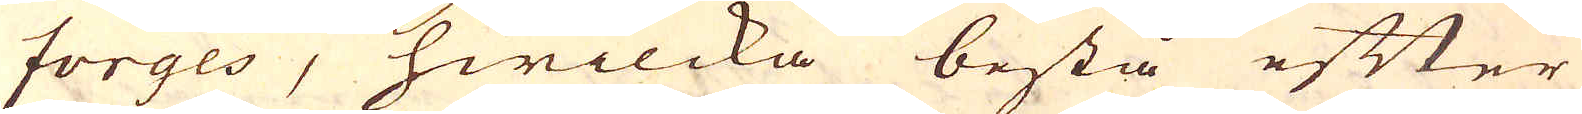forges, hwilcka bestå efter
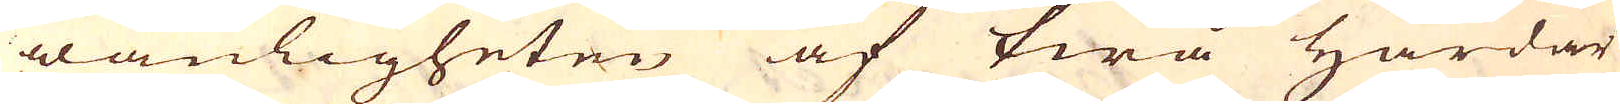wanligheten af twå Härdar
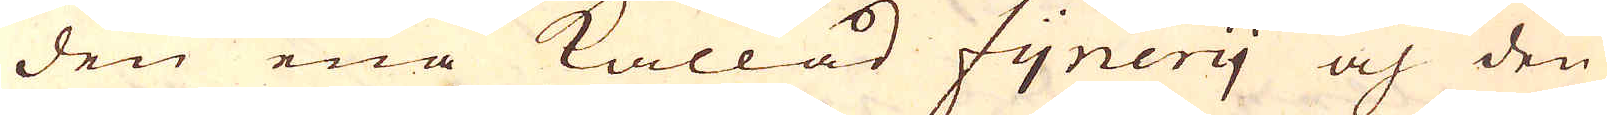den ena kallad fynery och den
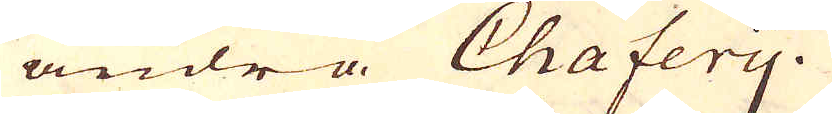andra Chafery.
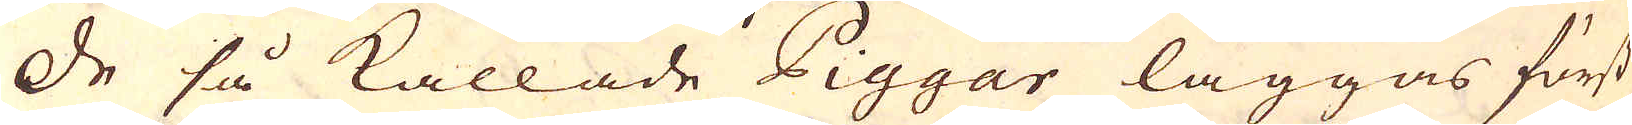De så kallade Piggar läggas först
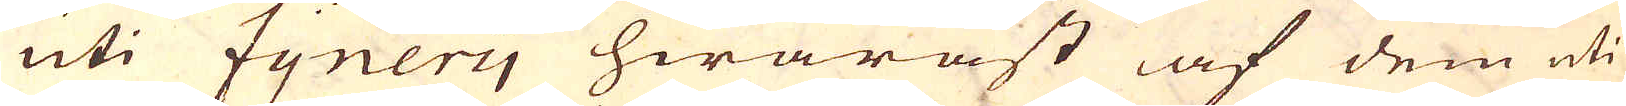uti fynery hwaräst af dem uti
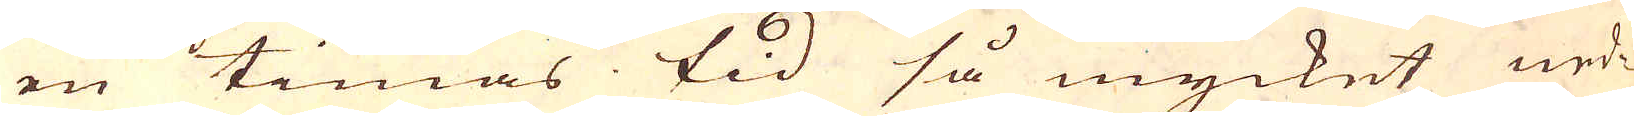en timas tid så mycket ned-
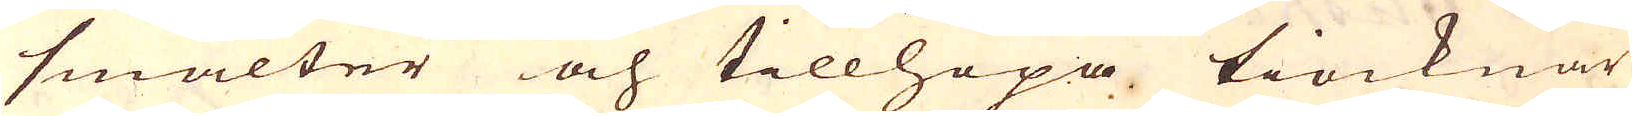smälter och tillhopa tiocknar
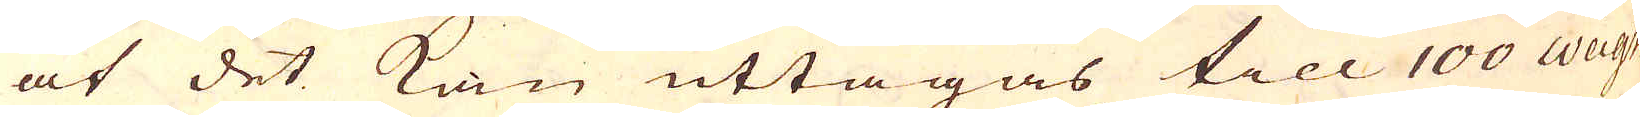at det kan uttagas till 100 weight
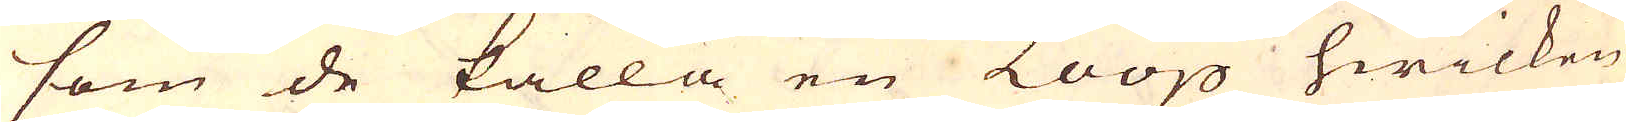som de kalla en Loop hwilken
